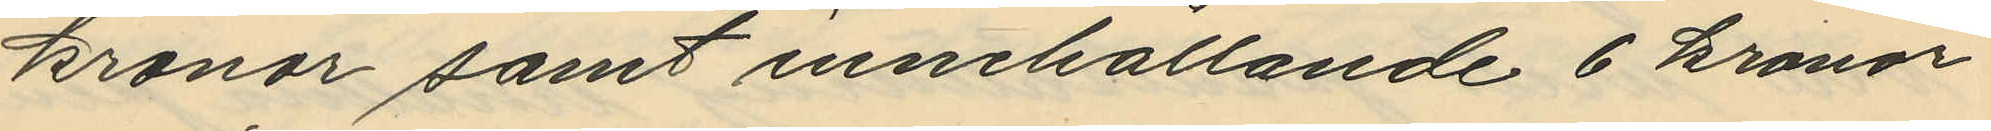kronor samt innehållande 6 kronor
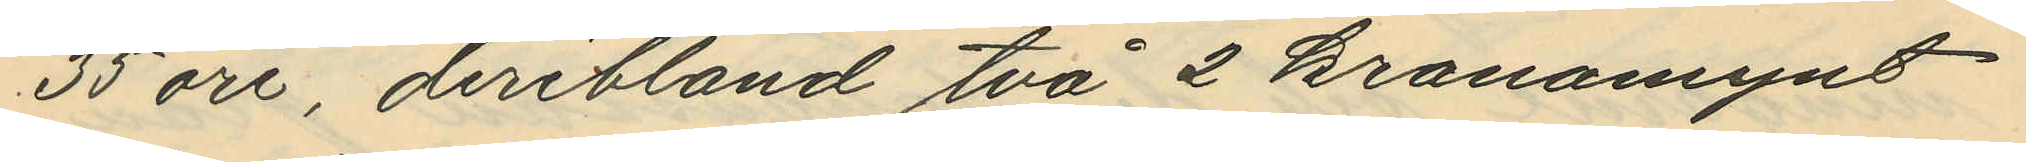35 öre, deribland två 2 kronomynt
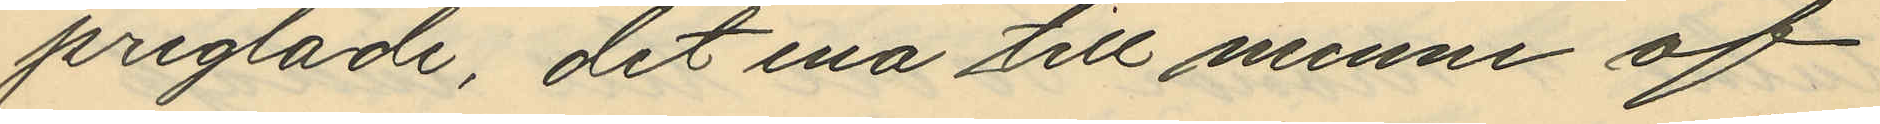preglade, det ena till minne af
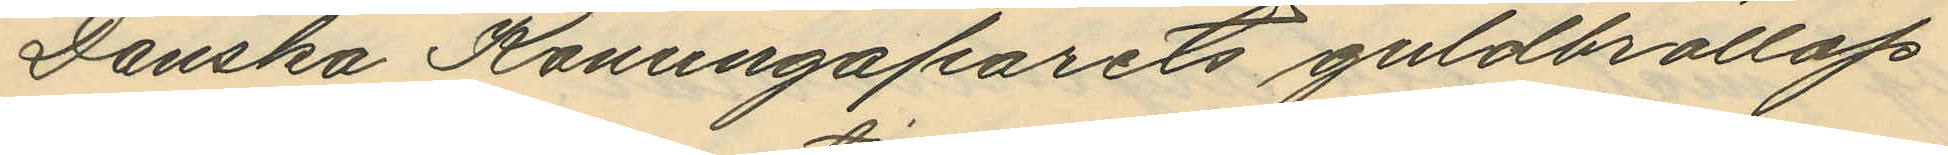Danska Konungaparets guldbröllop
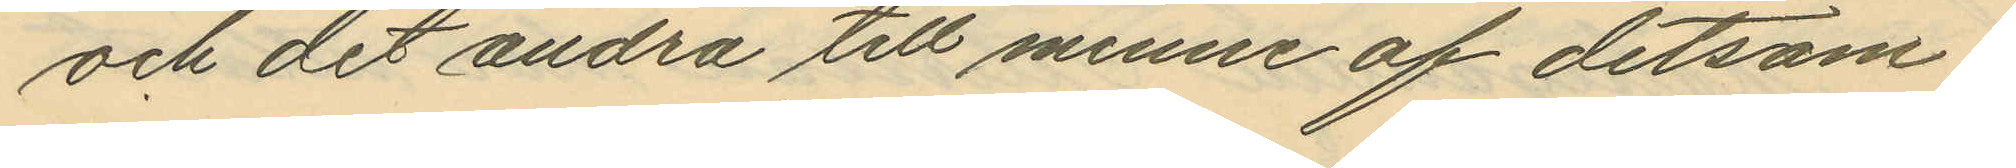och det andra till minne af detsam¬
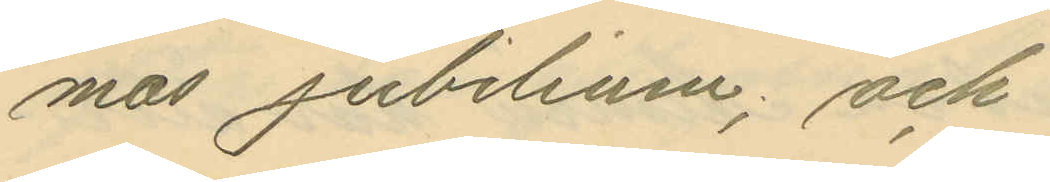mas jubileum; och
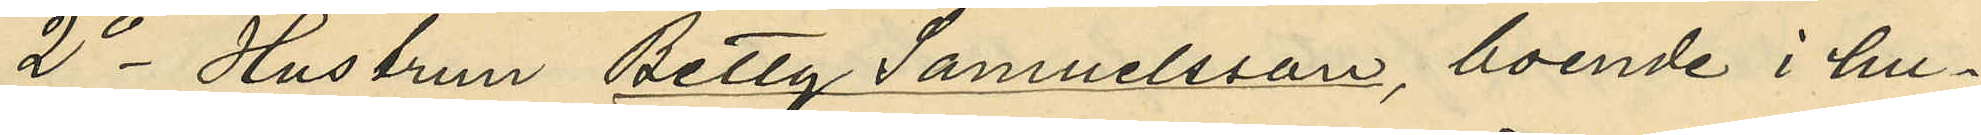2o Hustrun Betty Samuelsson, boende i hu¬
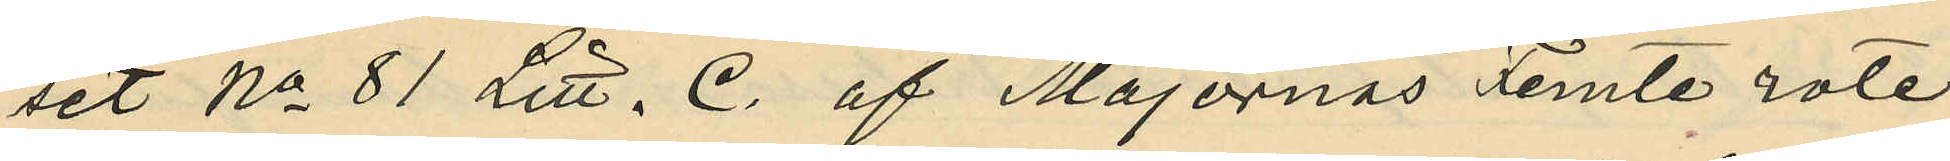set No 81 Litt. C. af Majornas Femte rote
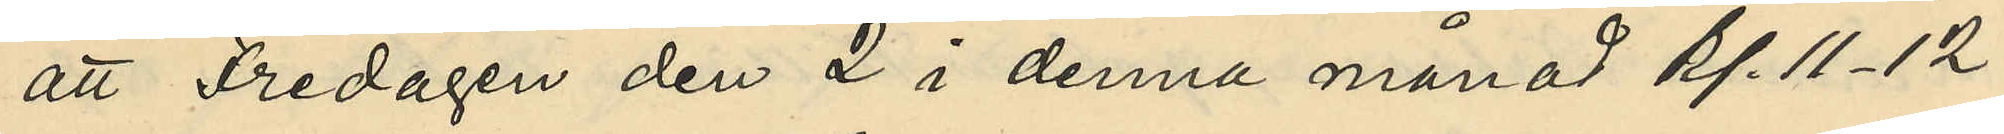att Fredagen den 2 i denna månad kl. 11-12
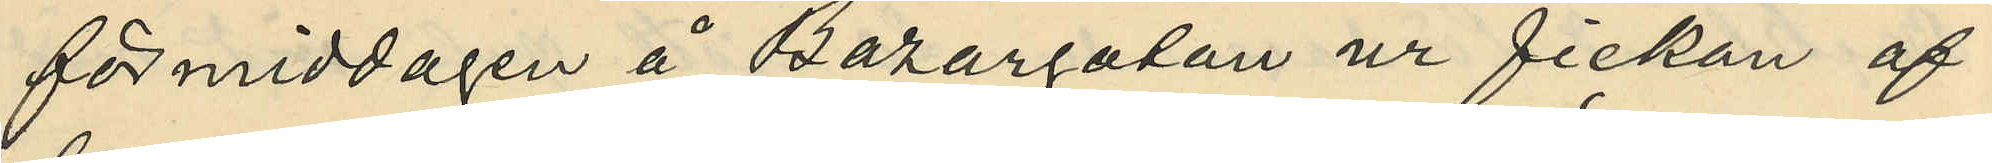förmiddagen å Bazargatan ur fickan af
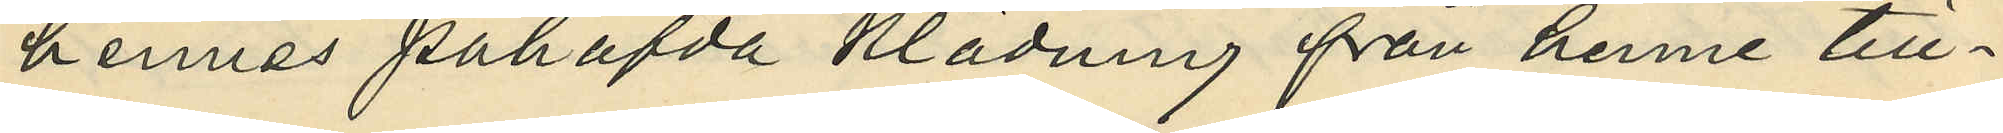hennes påhafda klädning från henne till¬
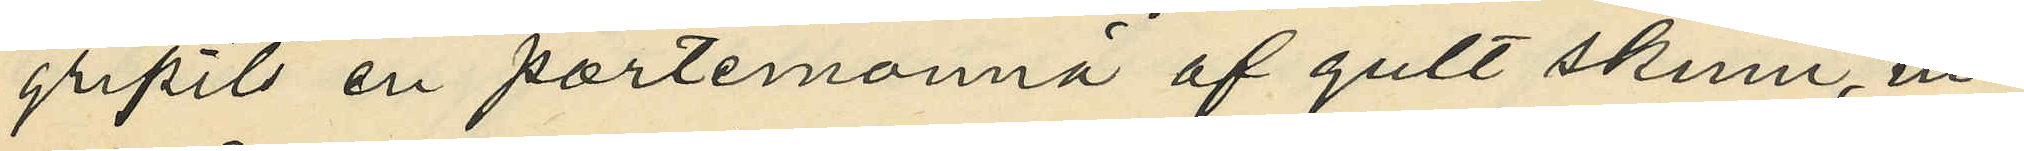gripits en portmonnä af gult skinn, in¬
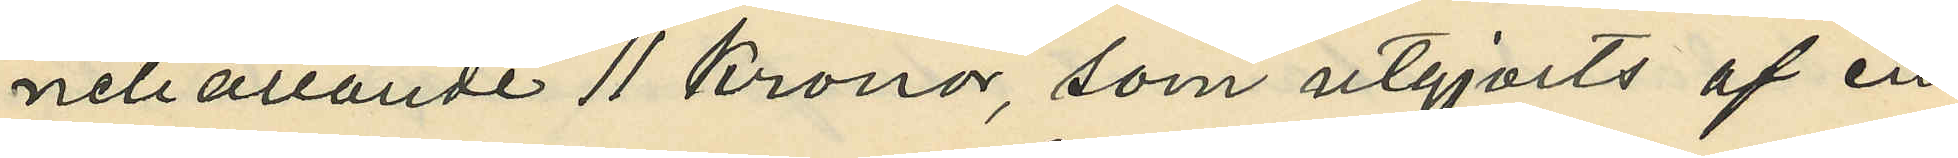nehållande 11 kronor, som utgjorts af en
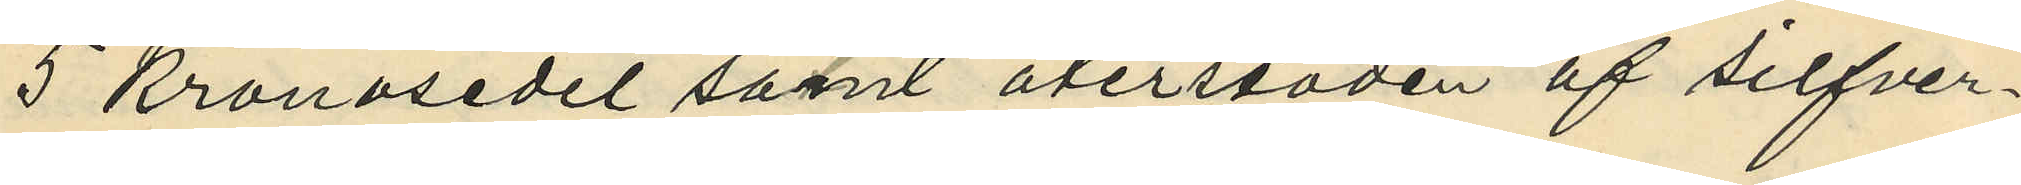5 kronosedel samt återstoden af silfver¬
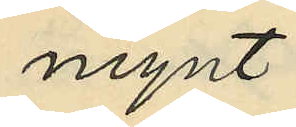mynt.
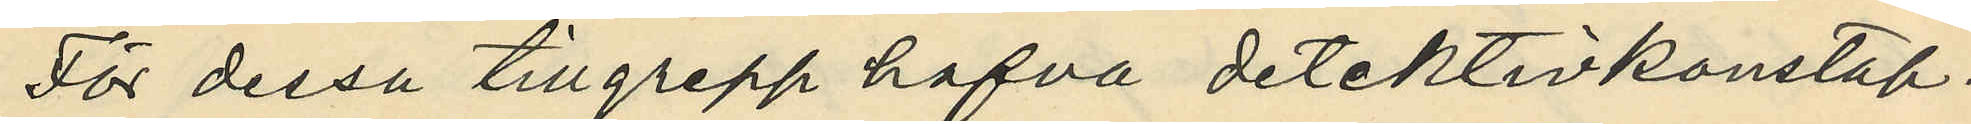För dessa tillgrepp hafva detektivkonstap¬
